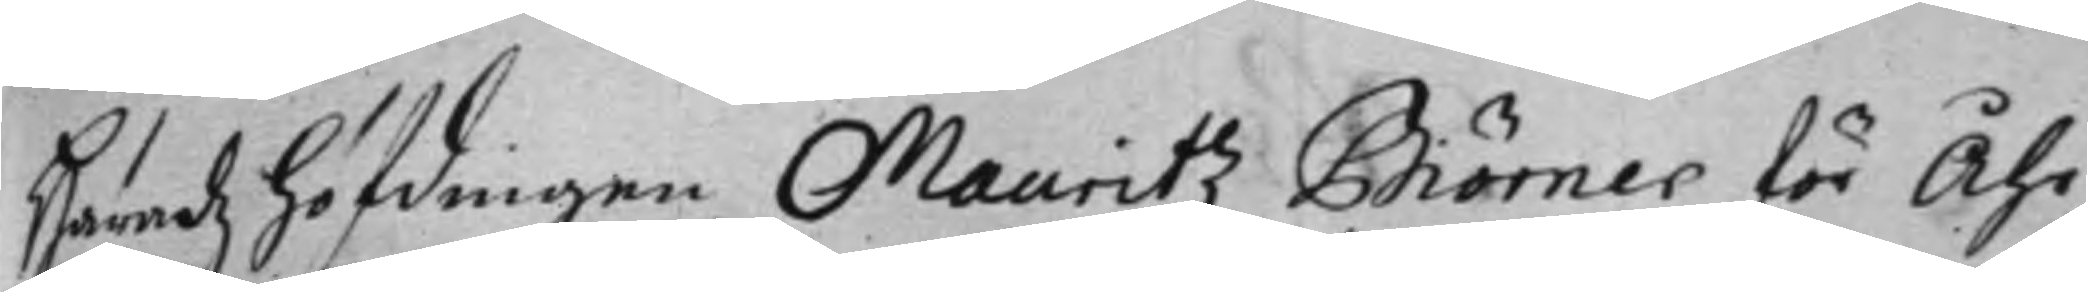Häradz höfdingen Mauritz Chörner för Åhr
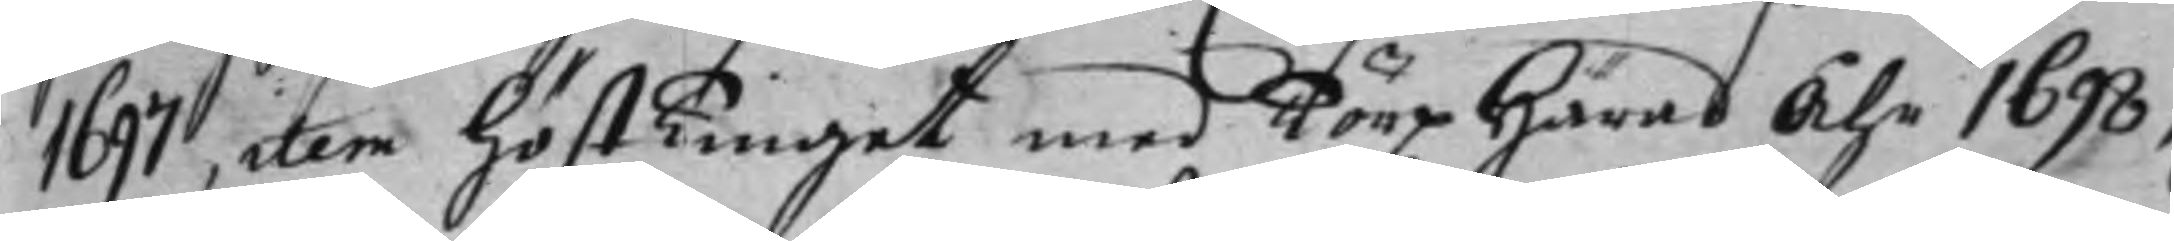1697, item höst Tinget med Törpz Härad Åhr 1698,
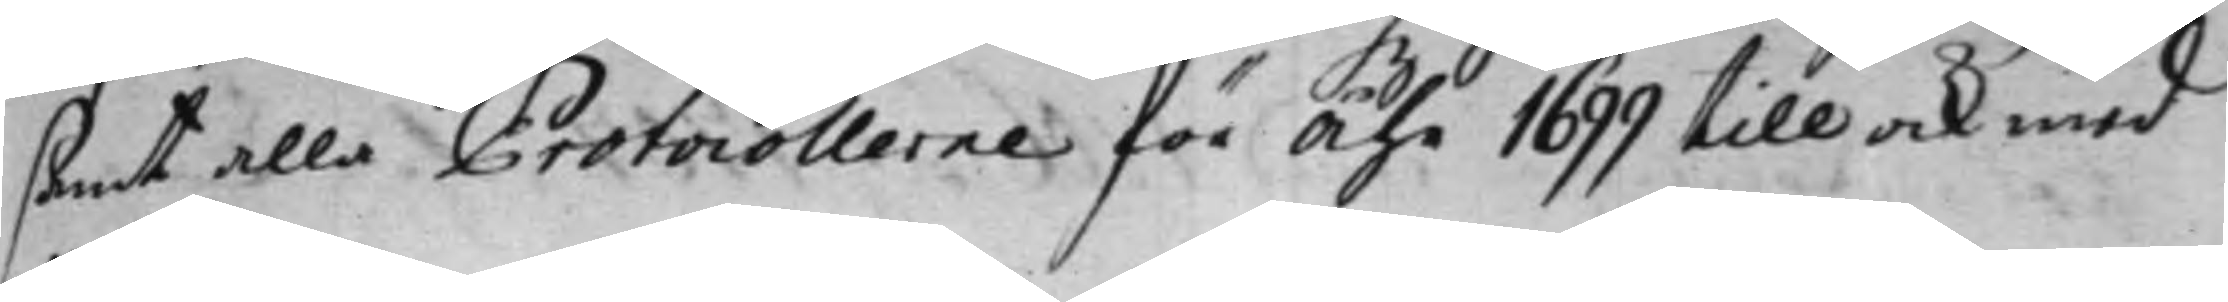samt alla Protocollerne för Åhr 1699 till ock med
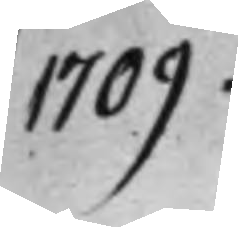1709.
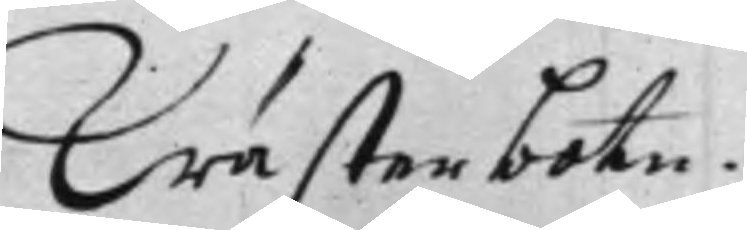Wästerbotn.
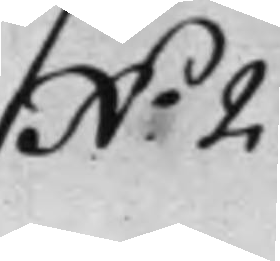N.o 2.
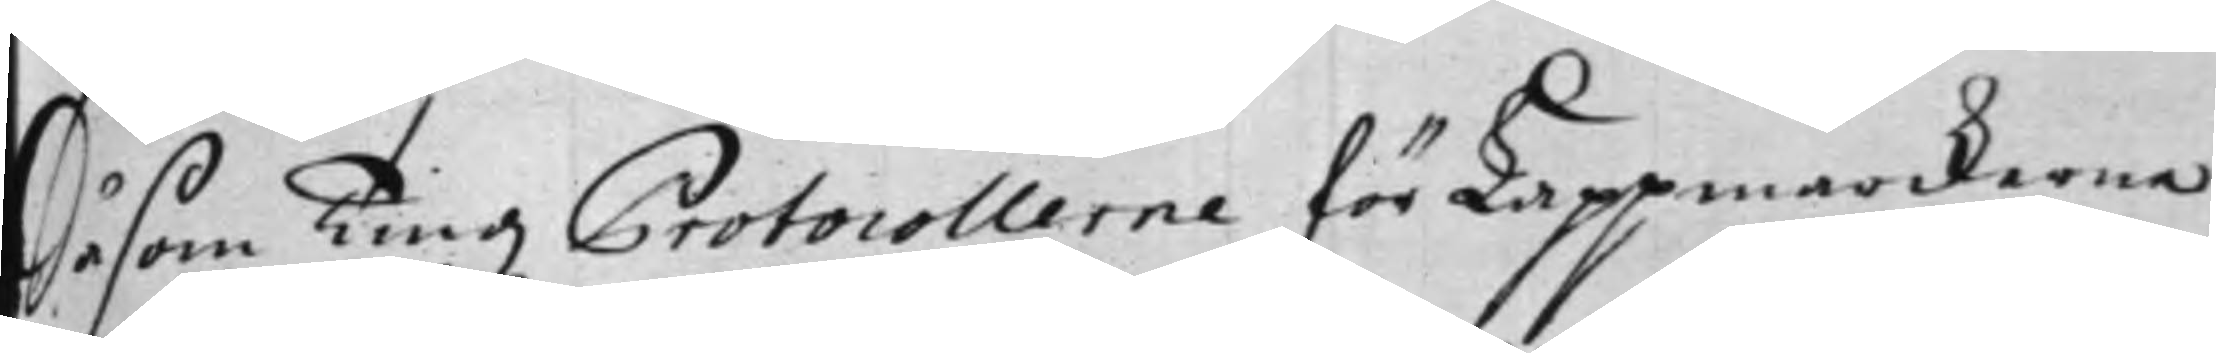Såsom Tingz Protocollerne för Lappmarckerna
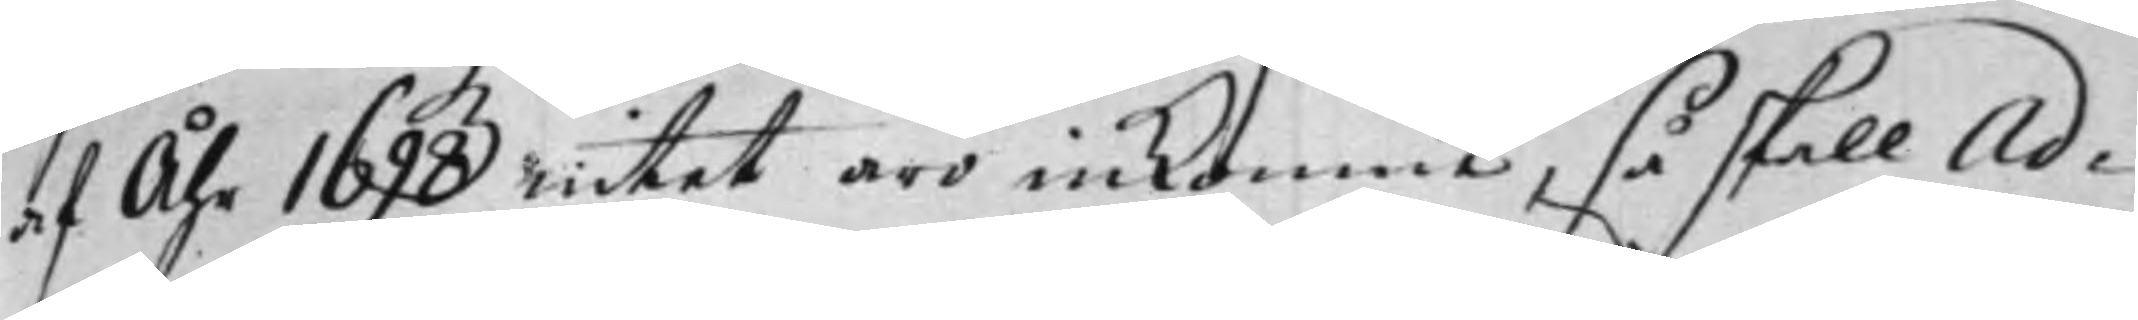af Åhr 1698 intet äro inkomne, så skall Ad¬
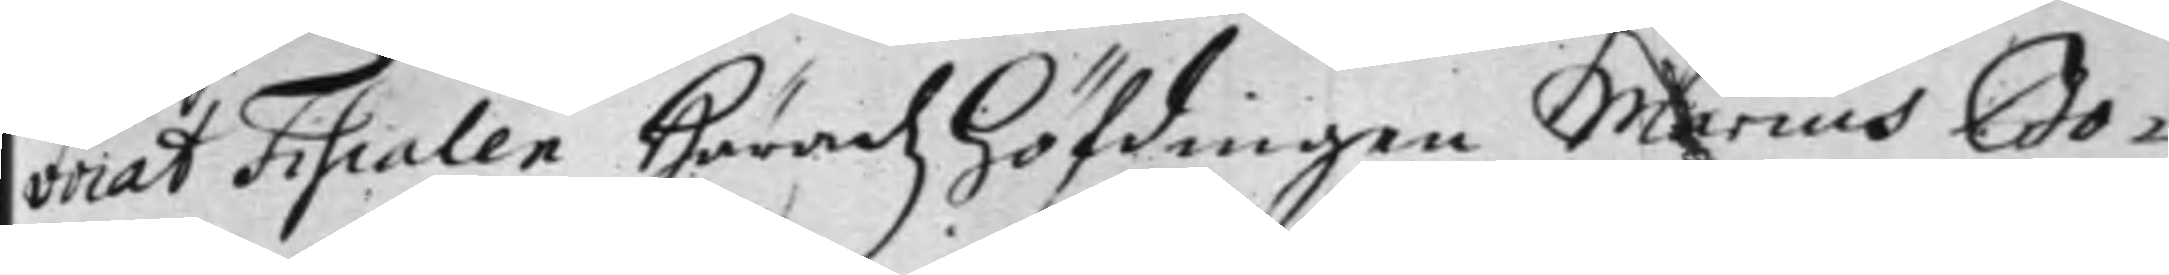vocat Fiscalen Häradz höfdingen Marcus Bo¬
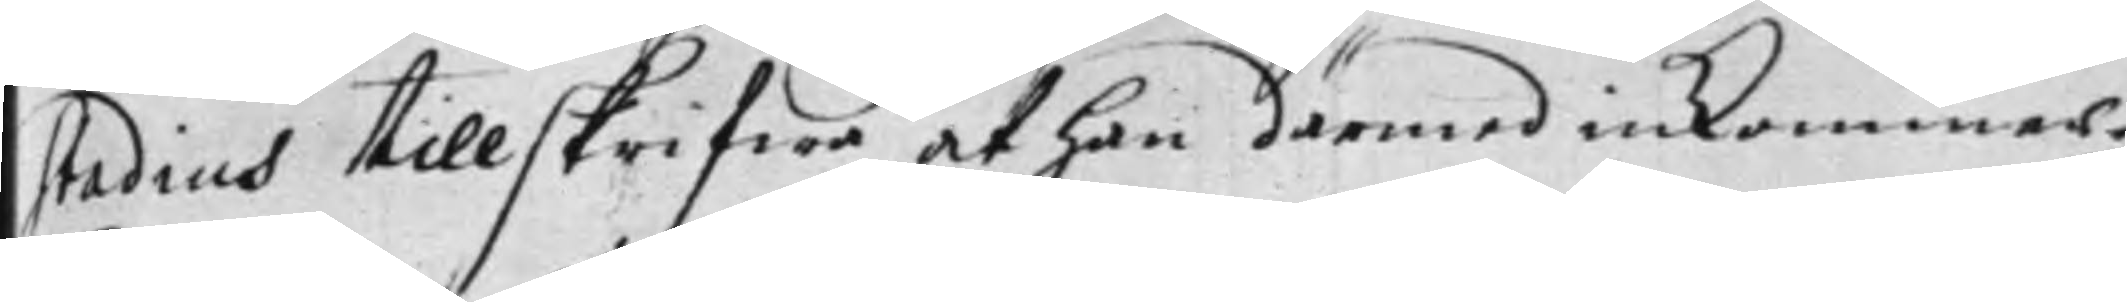stadius tillskrifwa at han därmed inkommer.
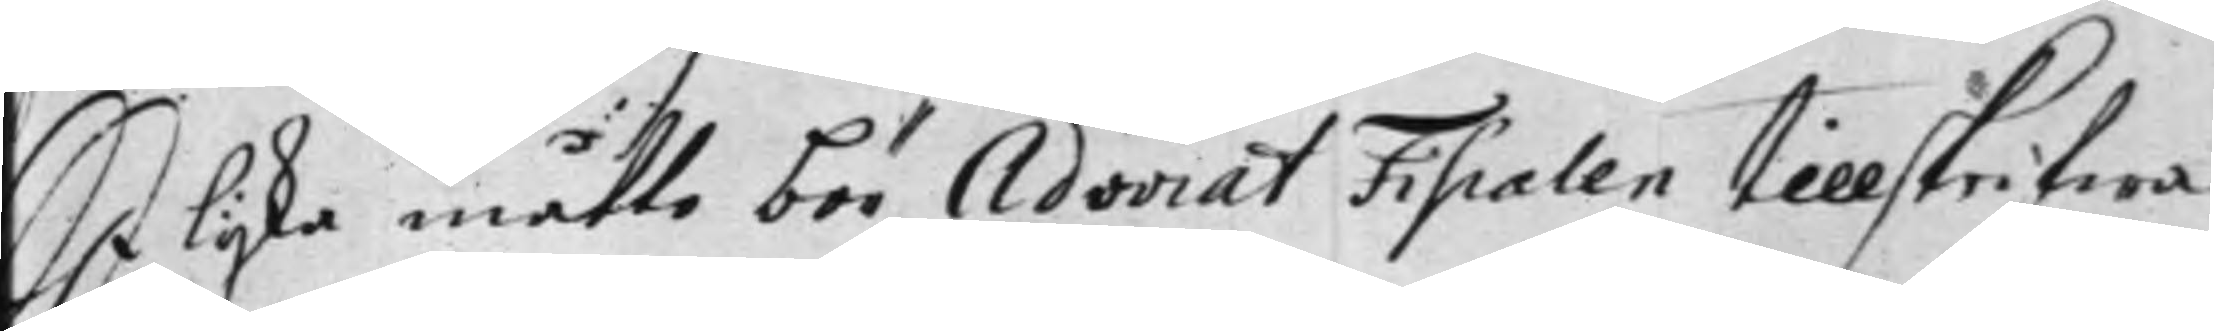I lijka måtto bör Advocat Fiscalen tillskrifwa
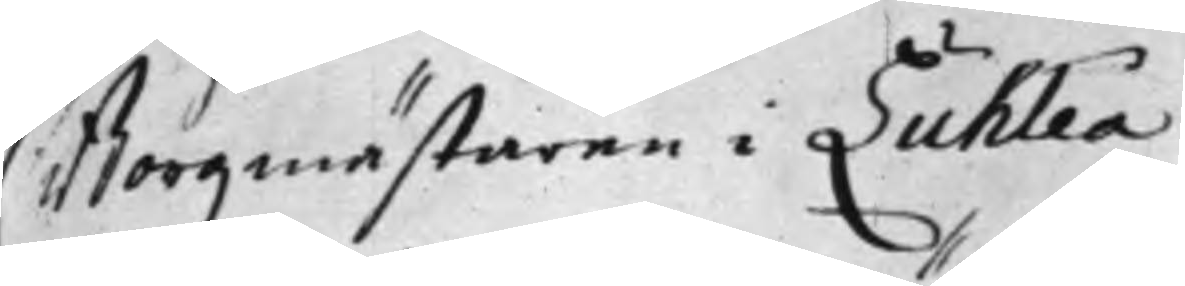Borgmästaren i Luhleå
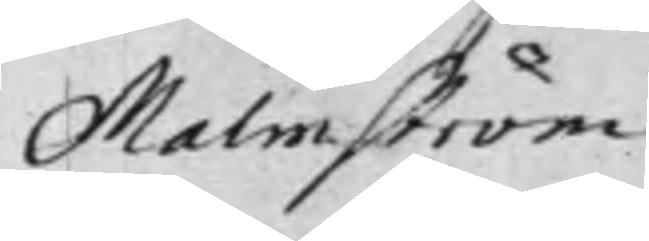Malmström
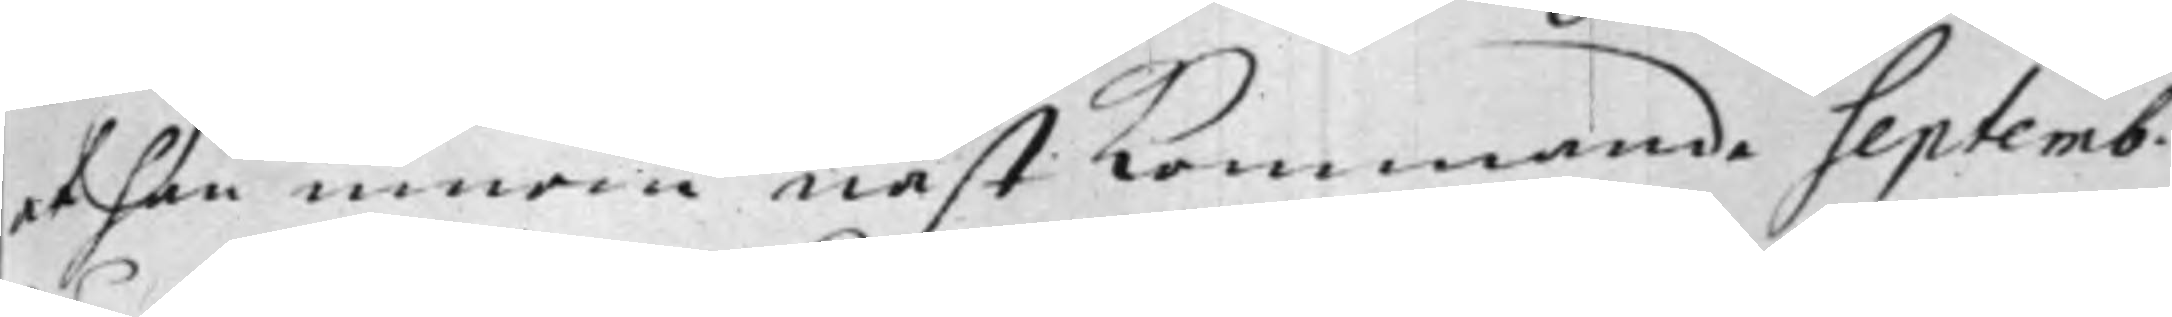at han innom nästkommande Septemb.
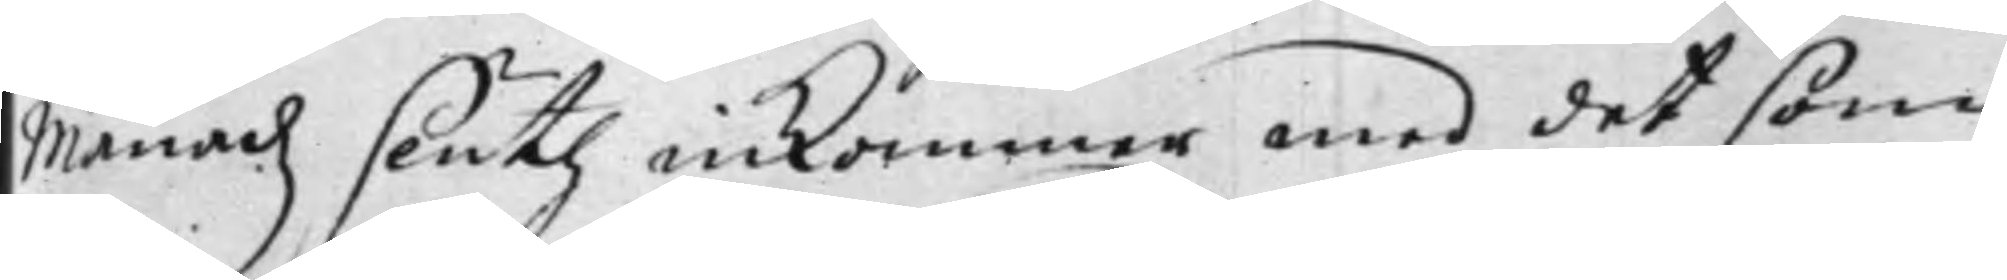Månadz sluth inkommer med det som
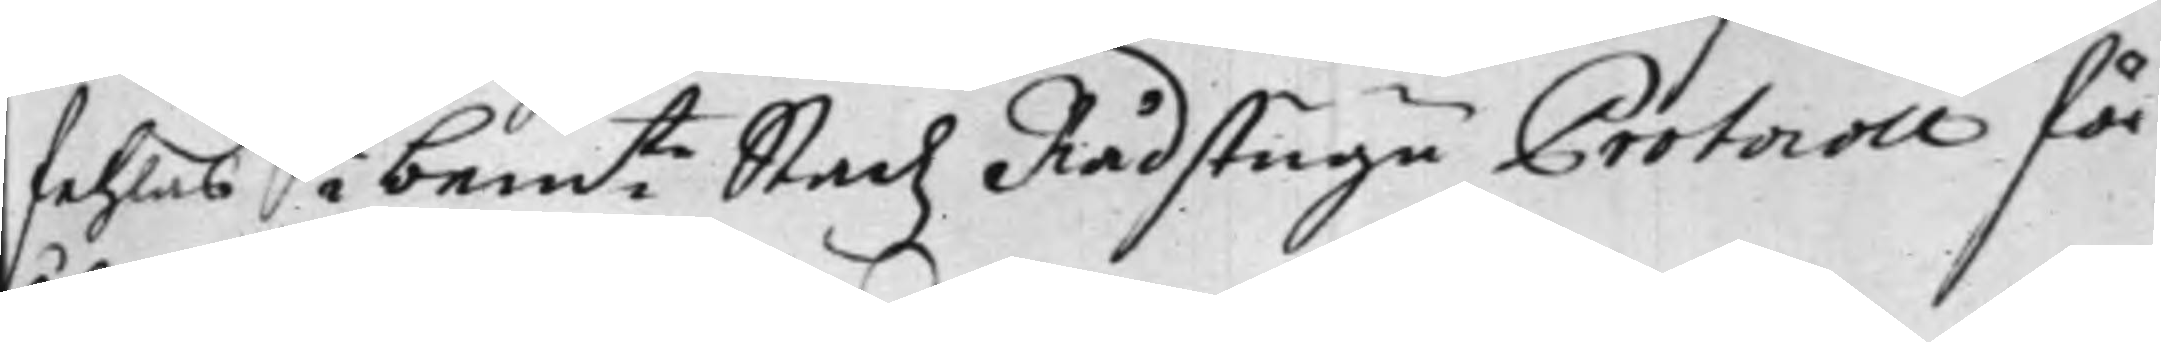fehlas i bem:te Stadz Rådstugu Protocoll för
